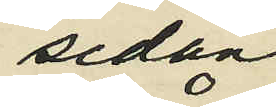sedan
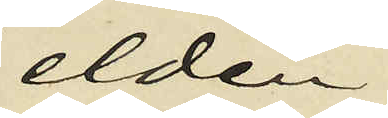elden
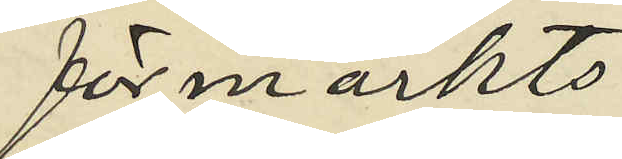förmärkts;
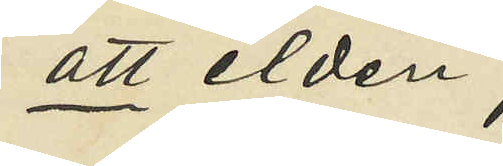att elden
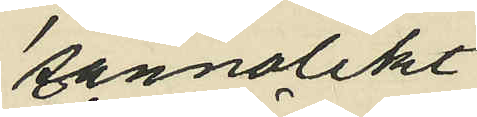sannolikt
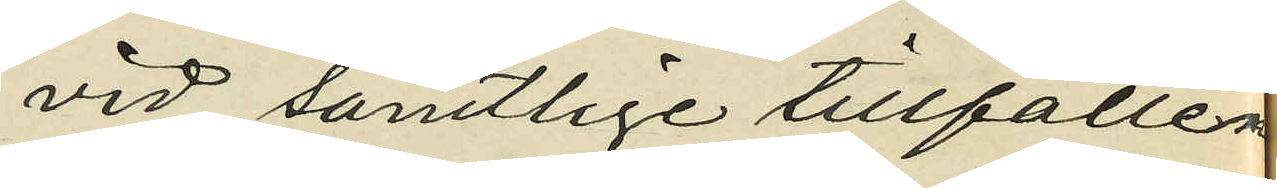vid samtlige tillfällen
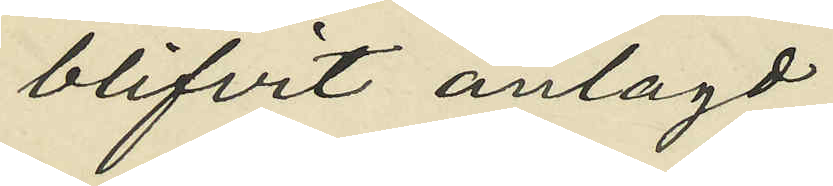blifvit anlagd;
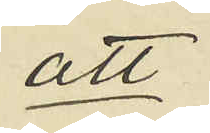att
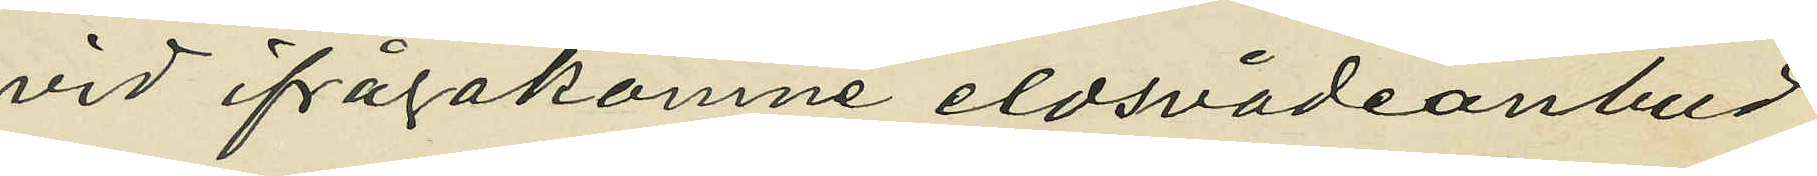vid ifrågakomne eldsvådeanbud
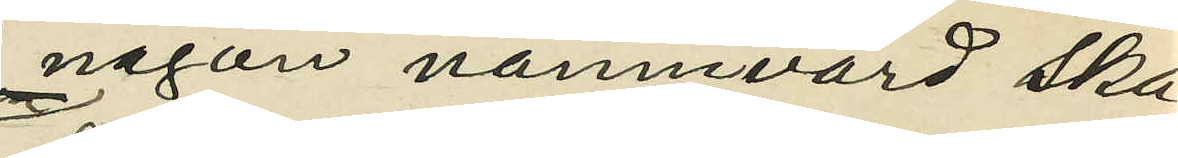någon nämnvärd ska¬
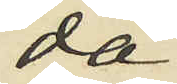da
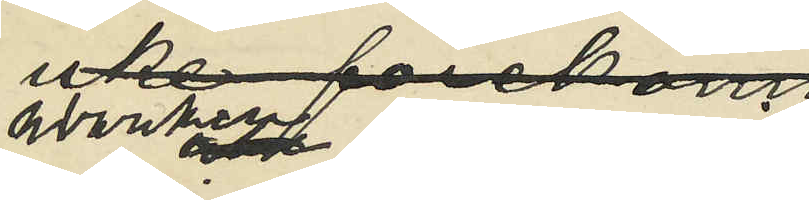warken uppkommit
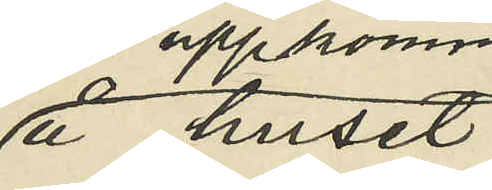å huset
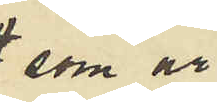som är
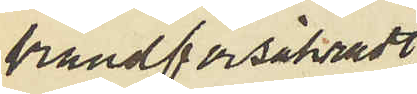brandförsäkradt
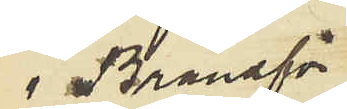i Brandför
